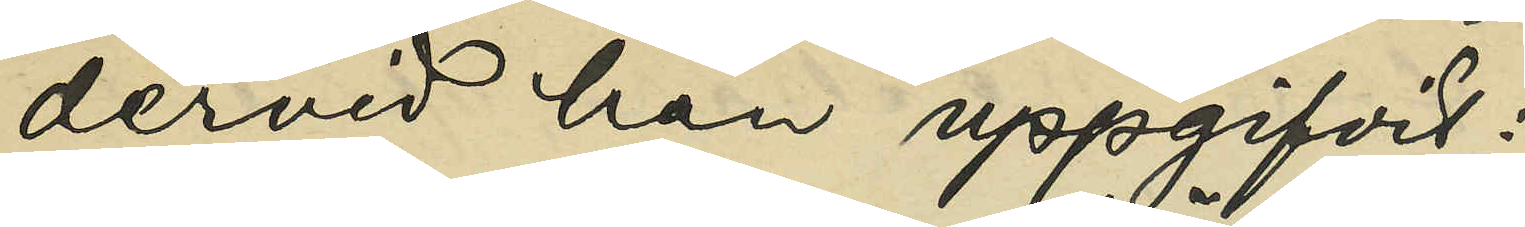dervid han uppgifvit:
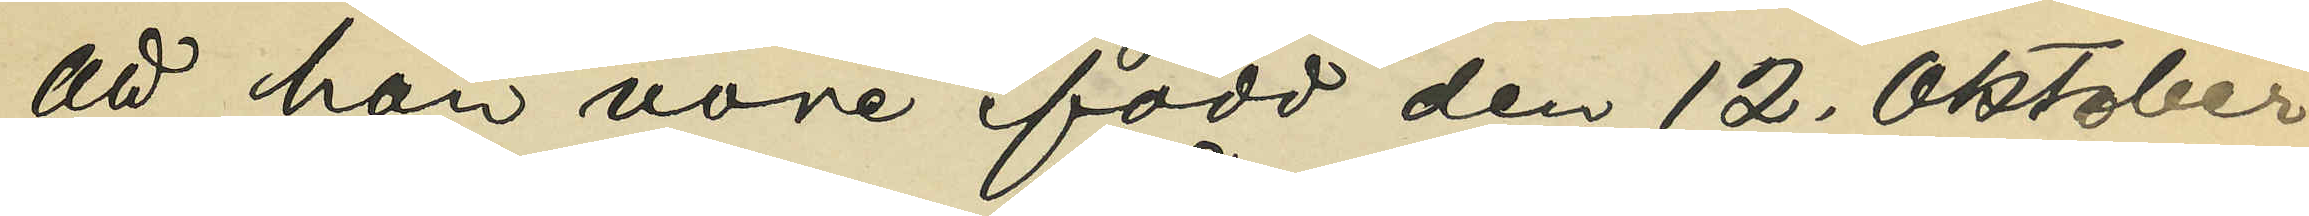att han vore född den 12. Oktober
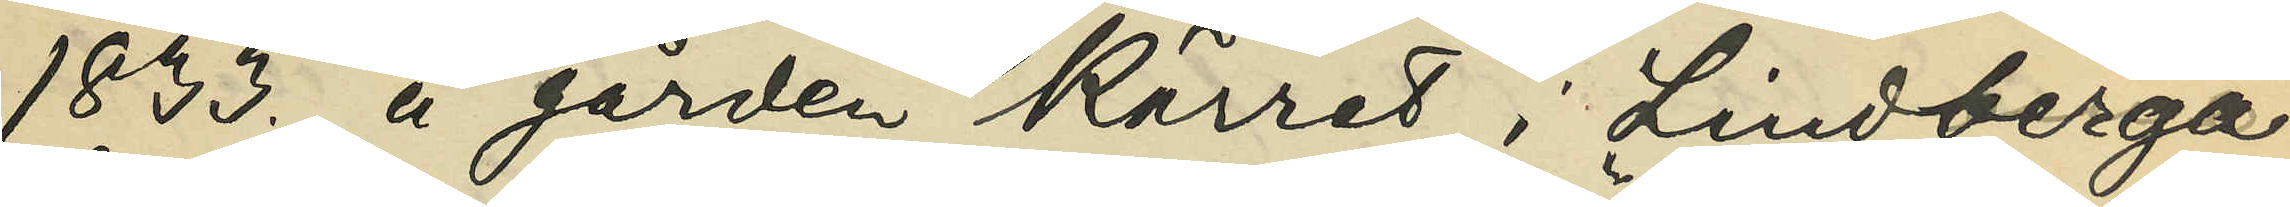1833. å gården Kärret i Lindberga
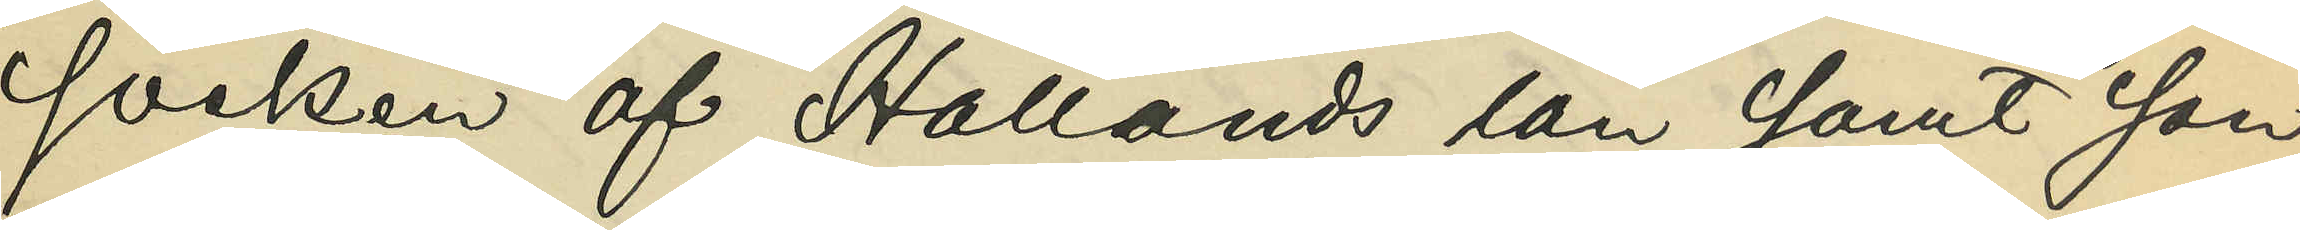socken af Hallands län, samt son
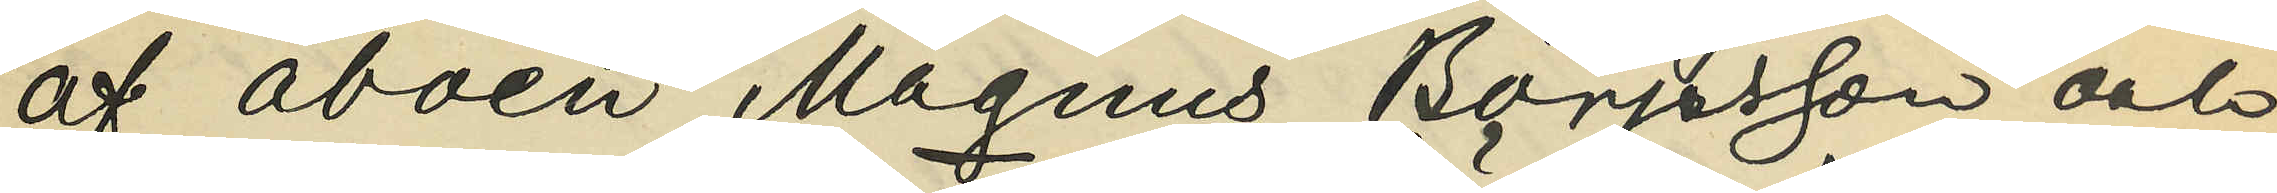af åboen Magnus Börjesson och
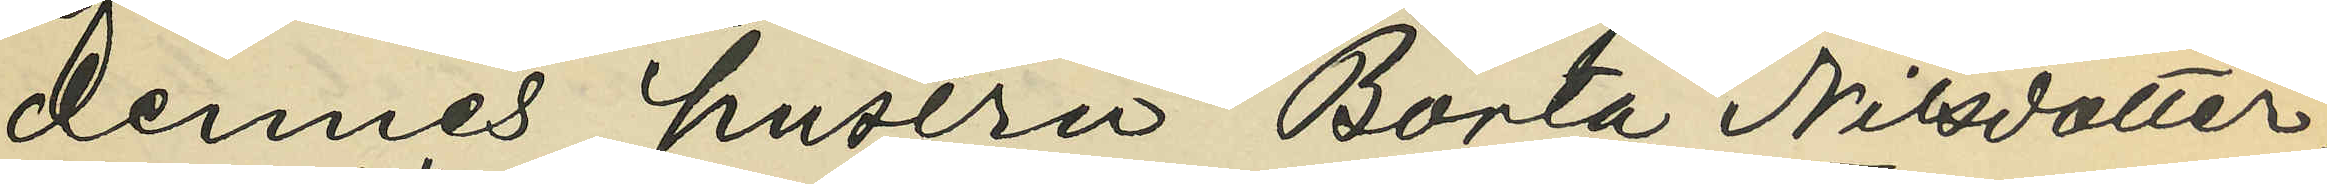dennes hustru Börta Nilsdotter;
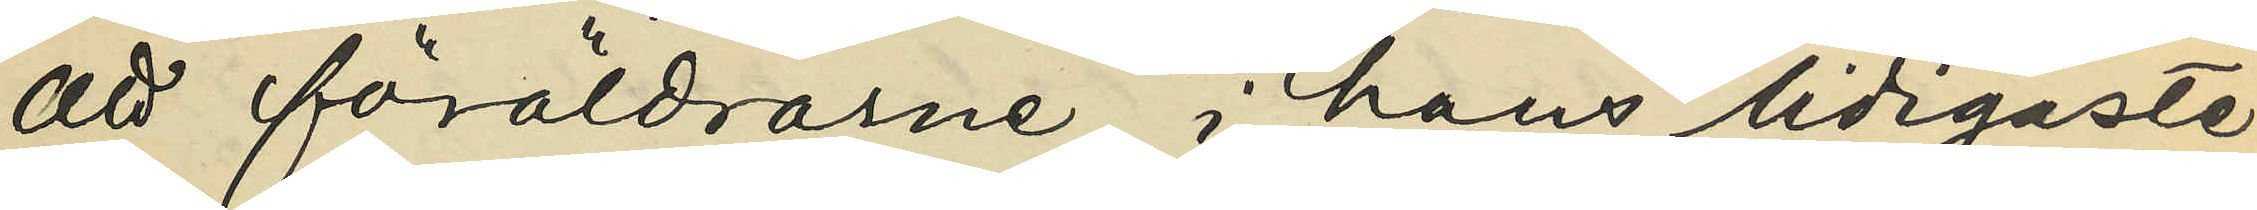att föräldrarne i hans tidigaste
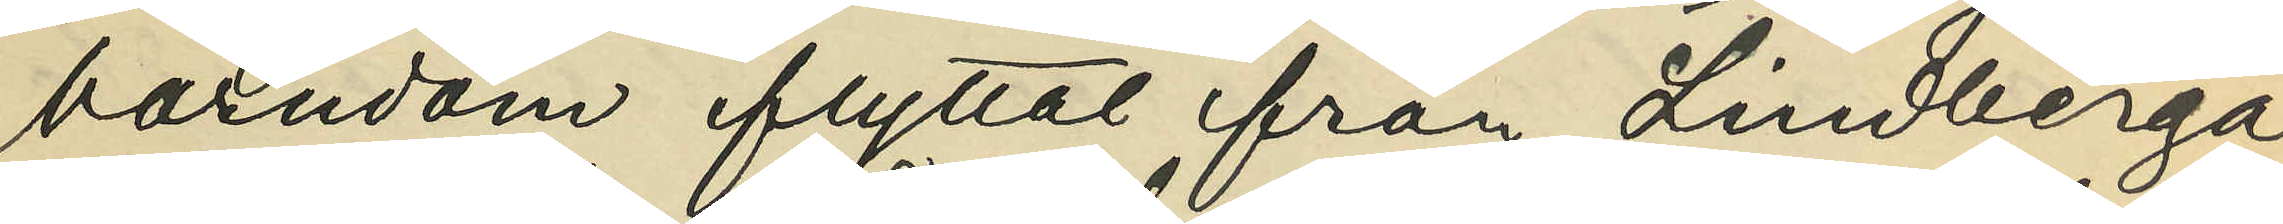barndom flyttat från Lindberga
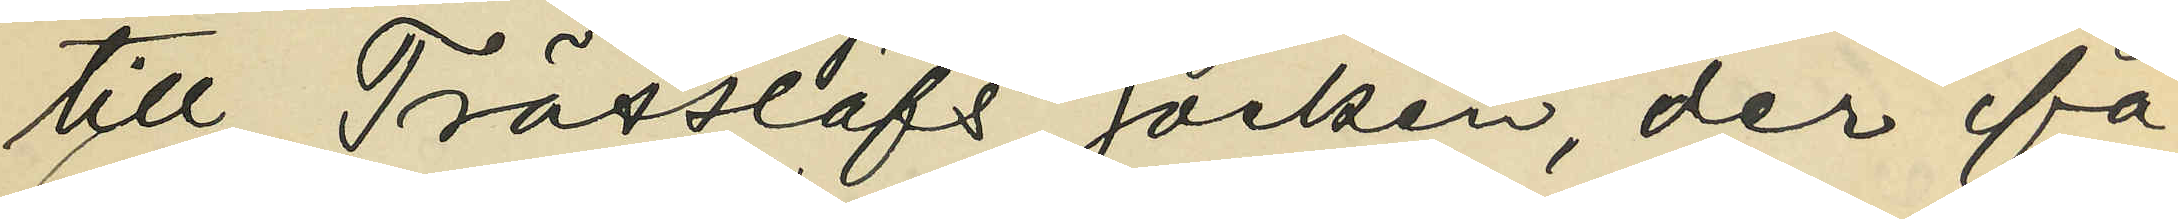till Trässlöfs socken, der fa¬
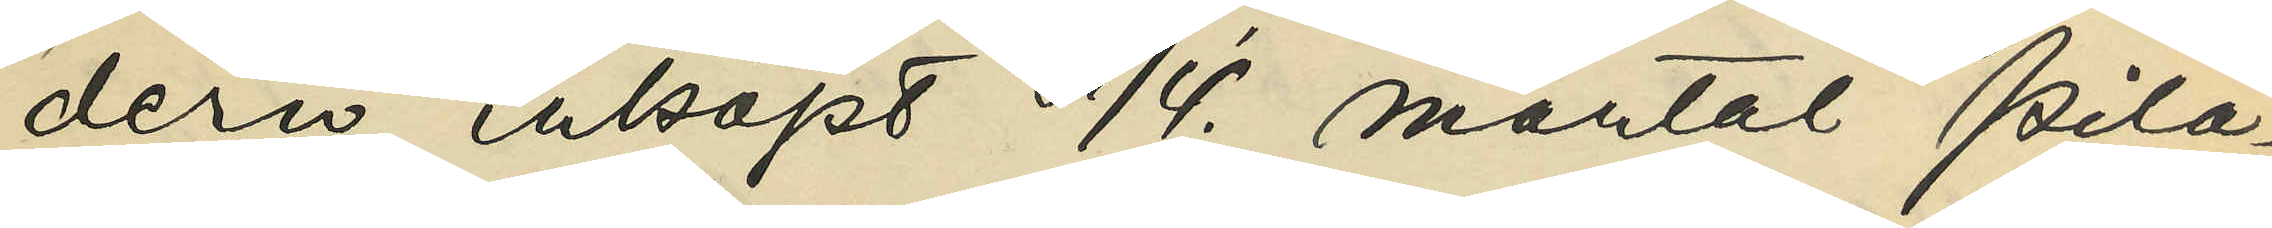dern inköpt 1/4. mantal Pila¬
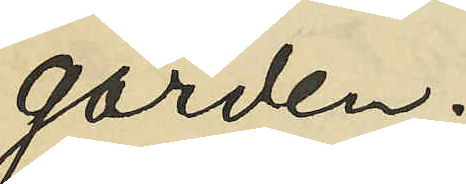gården;
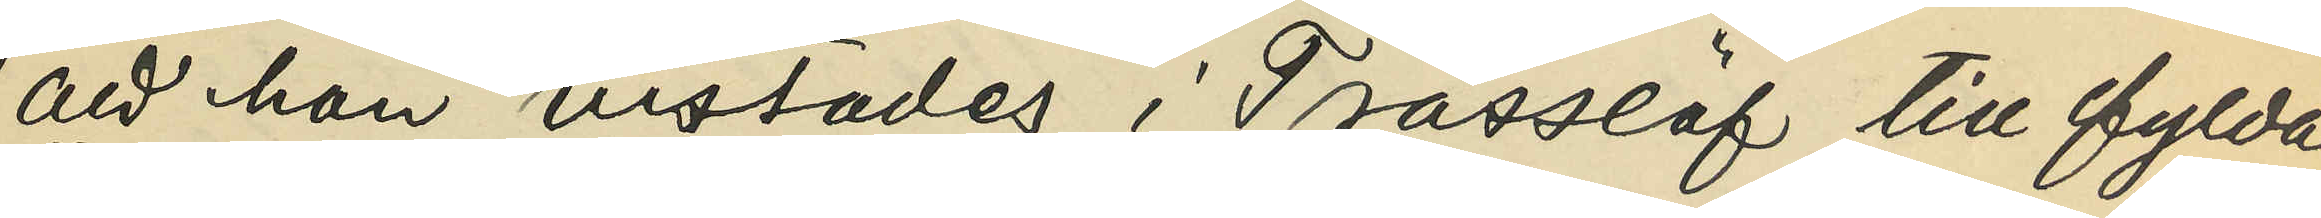att han vistades i Trässlöf till fylde
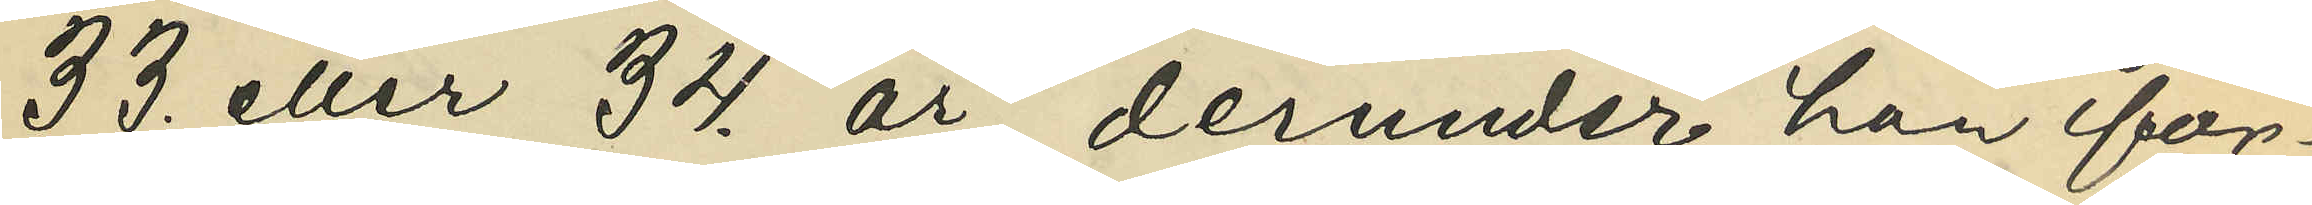33. eller 34. år, derunder han för¬
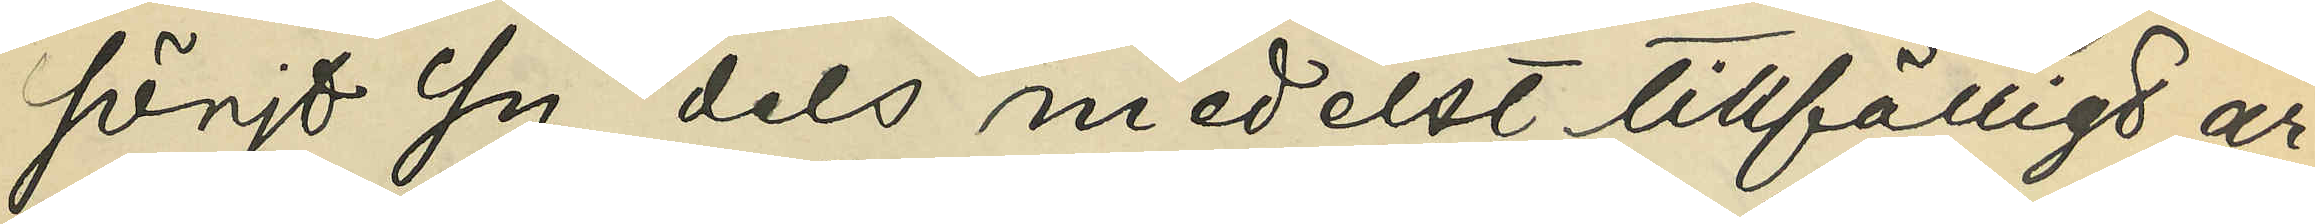sörjt sig dels medelst tillfälligt ar¬
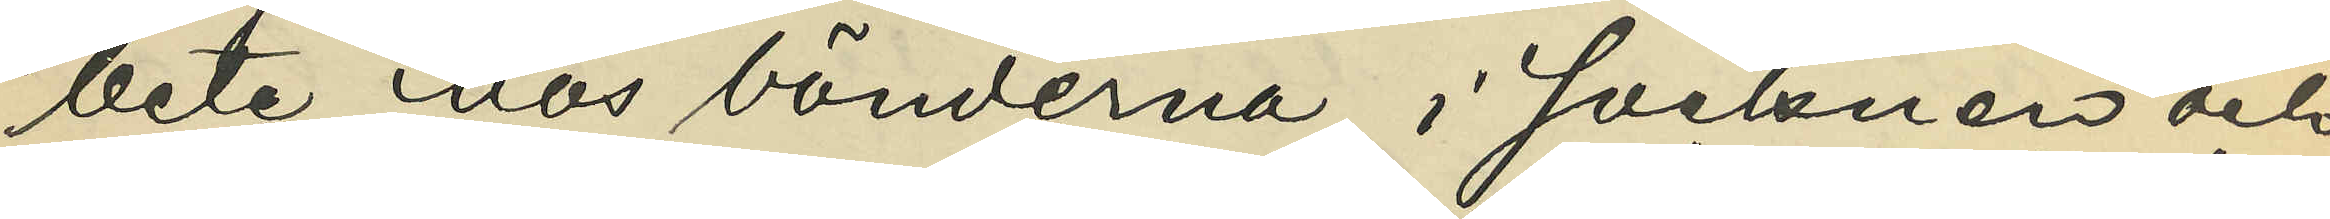bete hos bönderna i socknen och
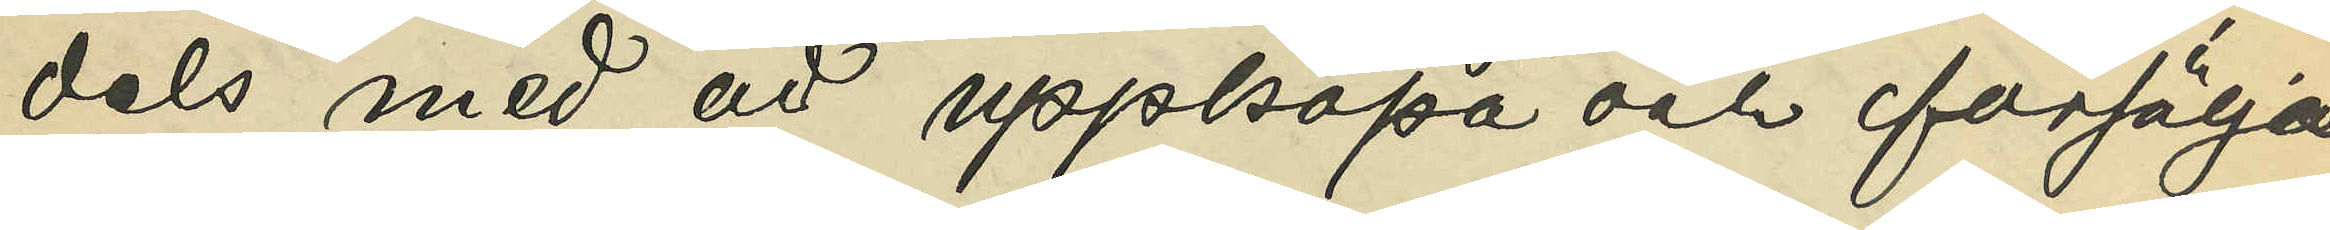dels med att uppköpa och försälja
